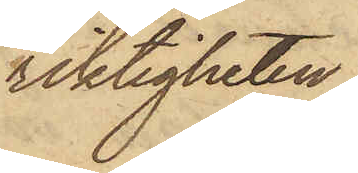rikligheten
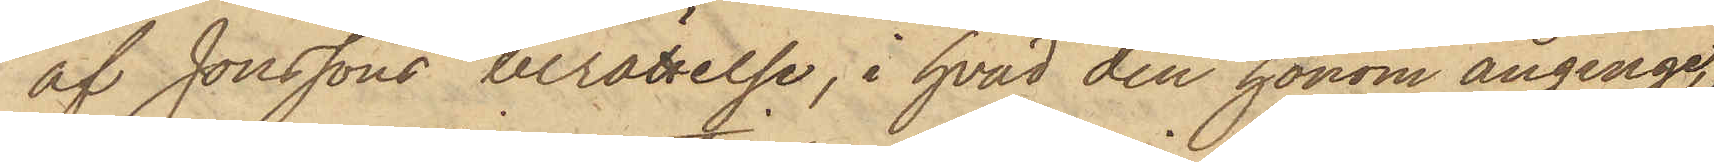af Jonssons berättelse, i hvad den honom anginge,
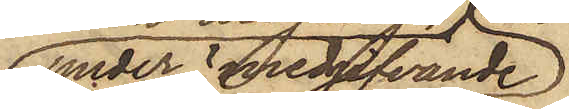under medgifvande
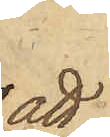att
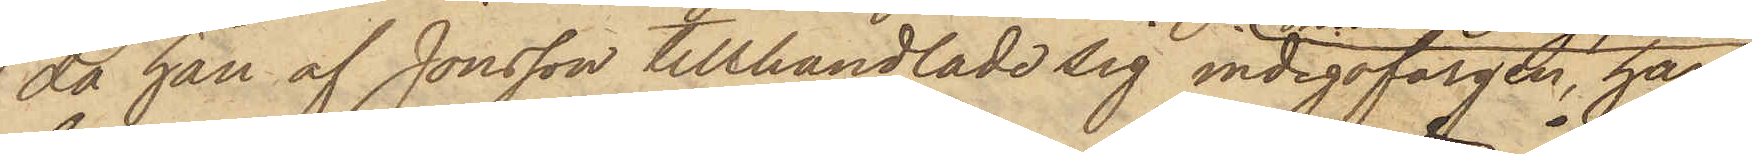då han af Jonsson tillhandlade sig indigofärgen, han
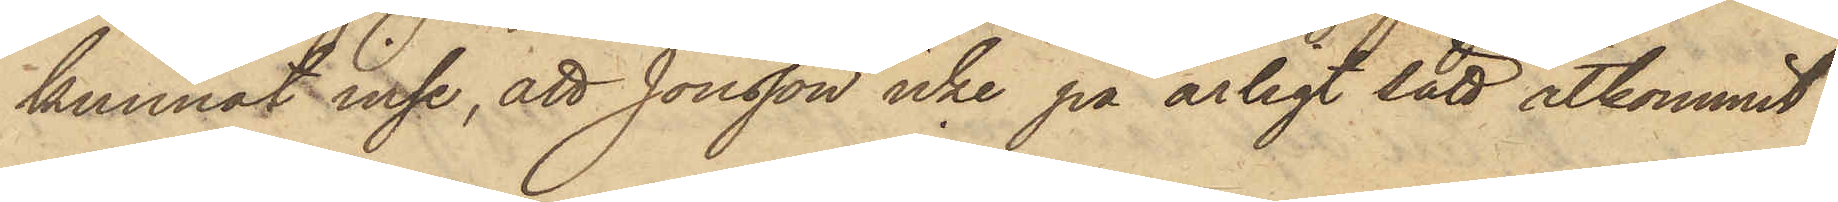kunnat inse, att Jonsson icke på ärligt sätt åtkommit
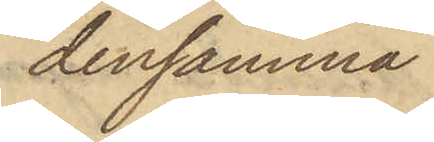densamma.
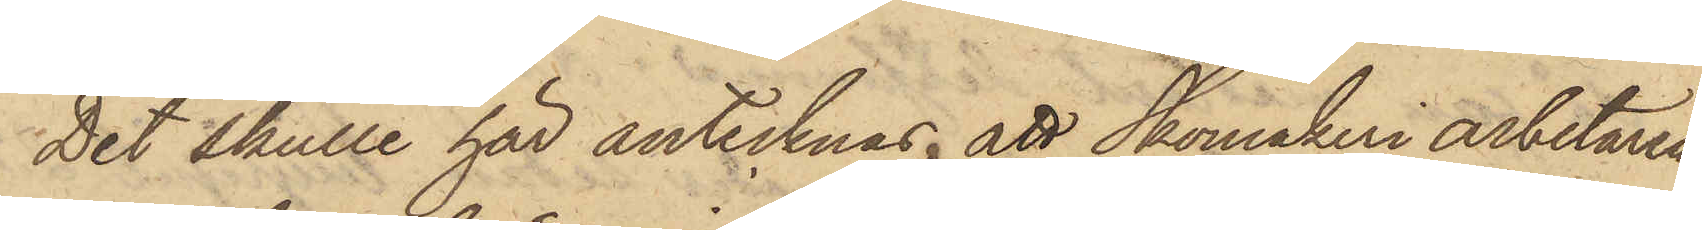Det skulle här antecknas, att Skomakeriarbetaren
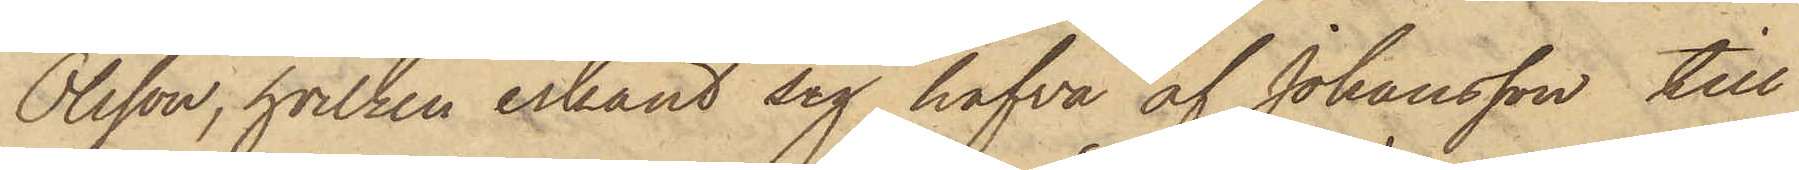Olsson, hvilken erkänt sig hafva af Johansson till
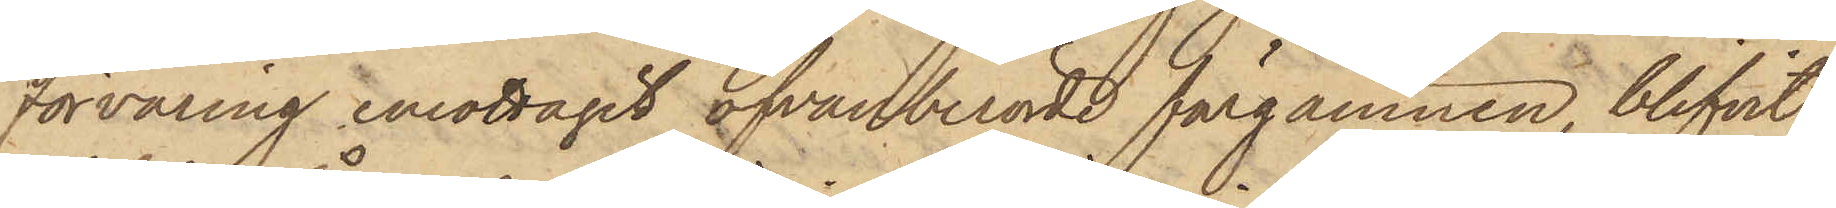förvaring emottagit ofvanberörde färgämnen, blifvit
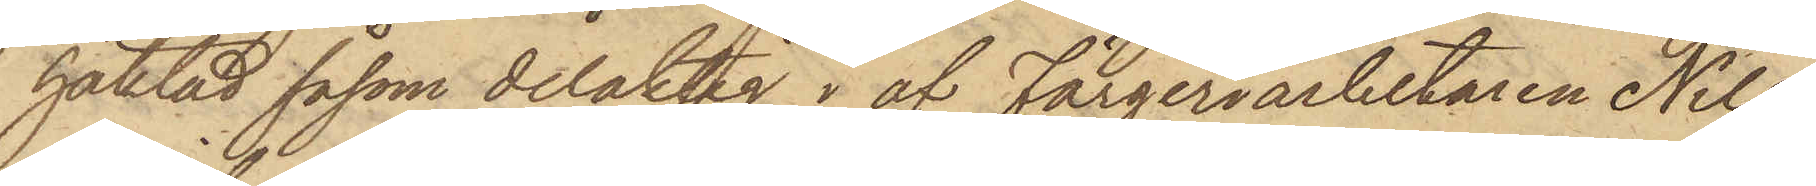häktad såsom delaktig i af Färgeriarbetaren Nils
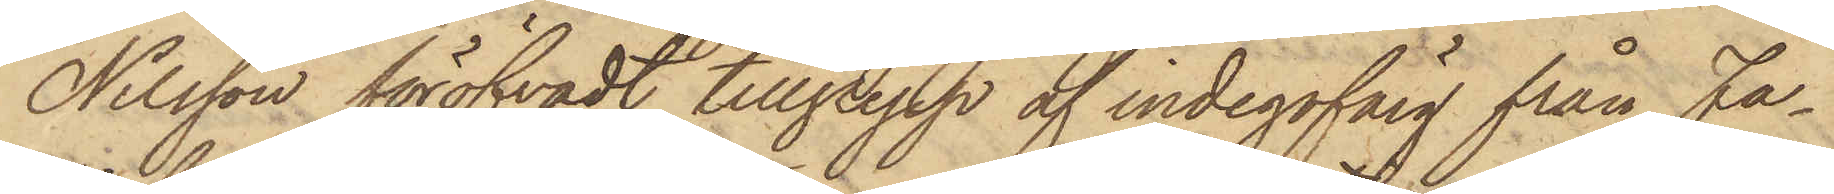Nilsson föröfvat tillgrepp af indigofärg från Fa¬
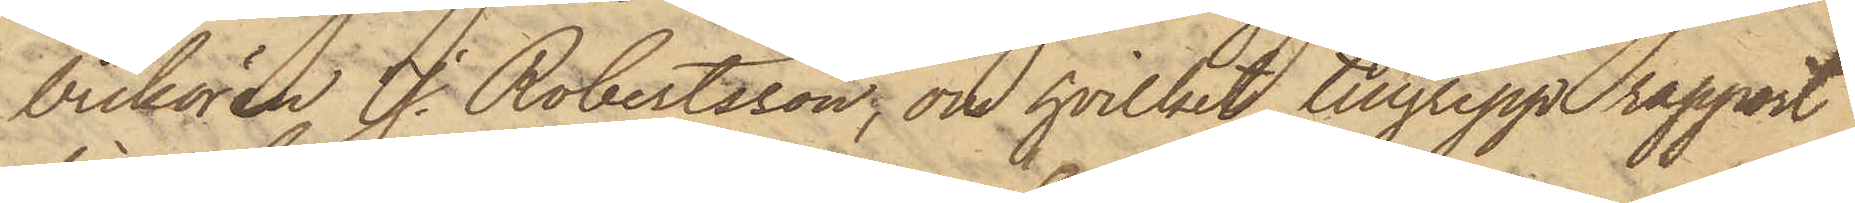brikören J. Robertsson, om hvilket tillgrepp rapport
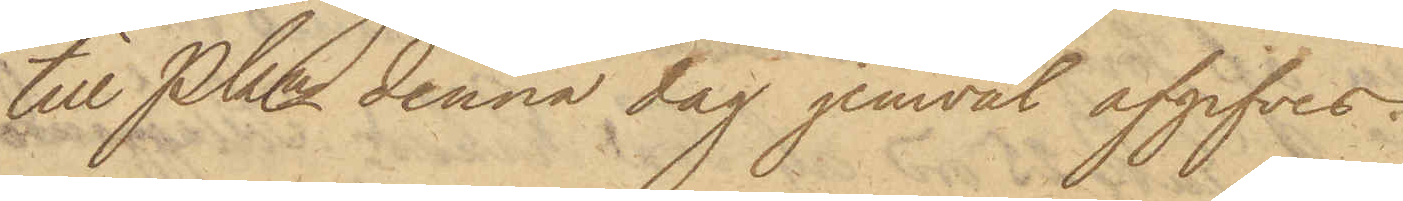till PKn denna dag jemväl afgifves.
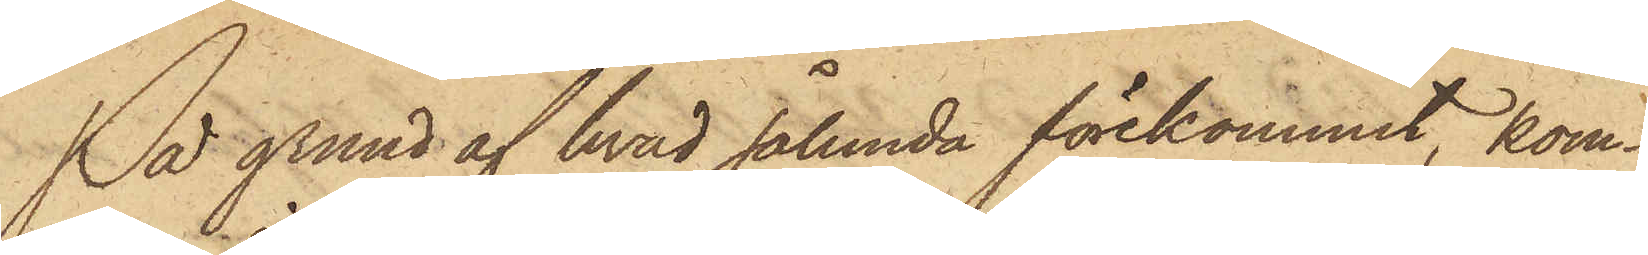På grund af hvad sålunda förekommit, kom¬
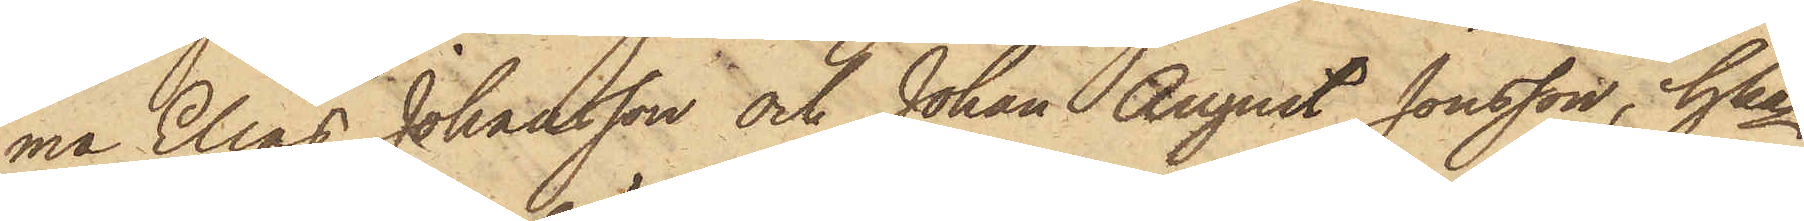ma Elias Johansson och Johan August Jonsson, hka
